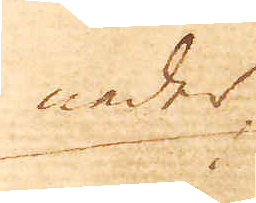neder
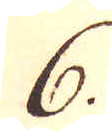6.
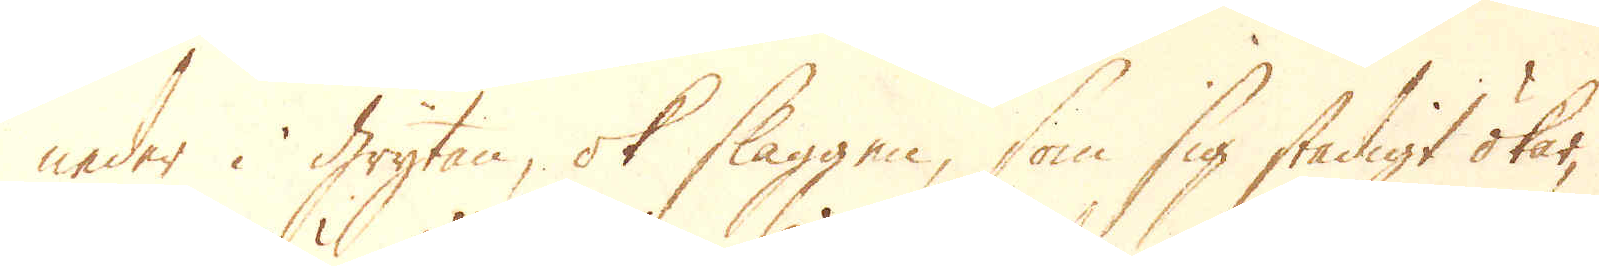neder i grytan, ok slaggen, som sig stadigt ökar,
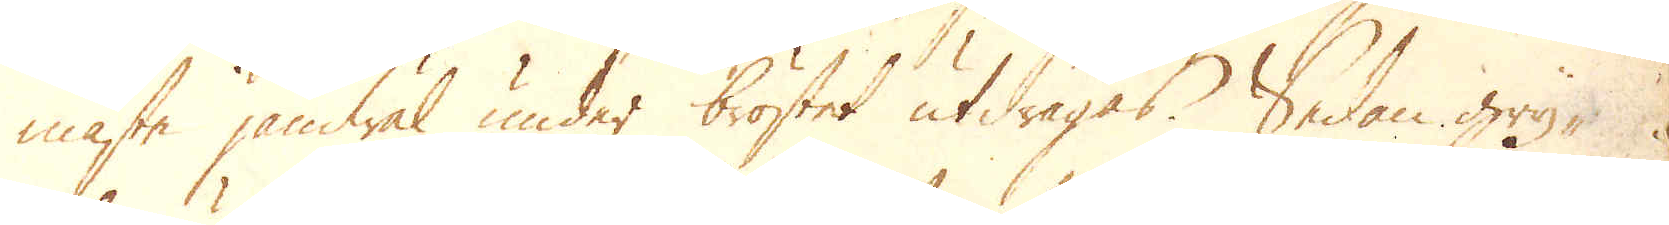måste jämwäl under bröstet utdragas. Sedan gry-
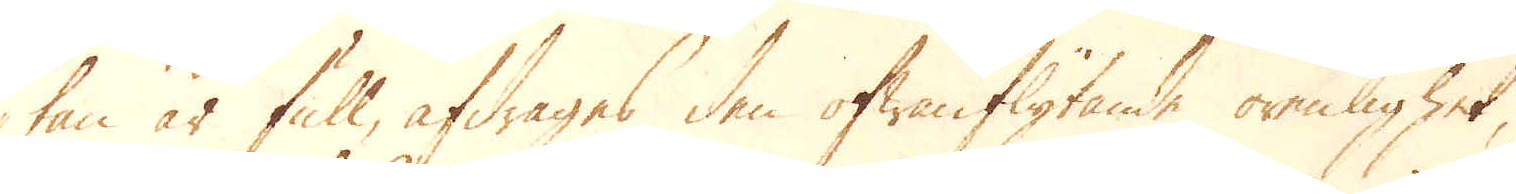tan är full, afdrages den ofwanflytande orenlighet,
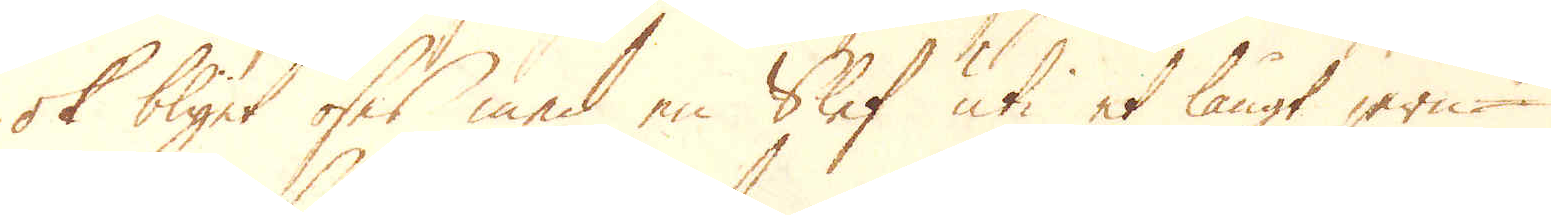ok blyet öses med en Slef uti et långt jern-
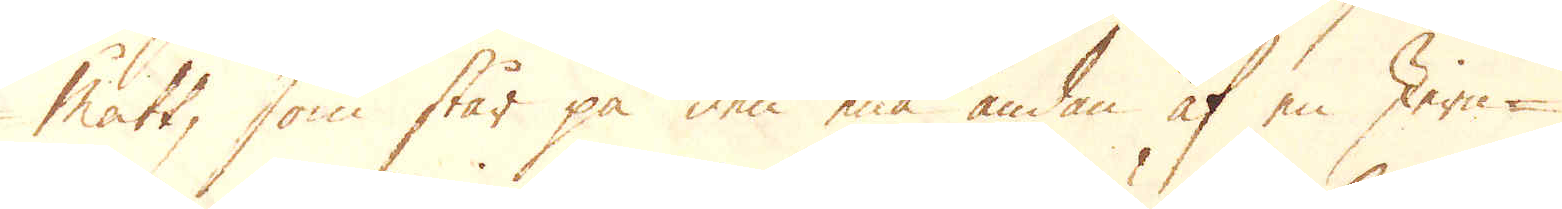mått, som står på den ena ändan af en Jern-
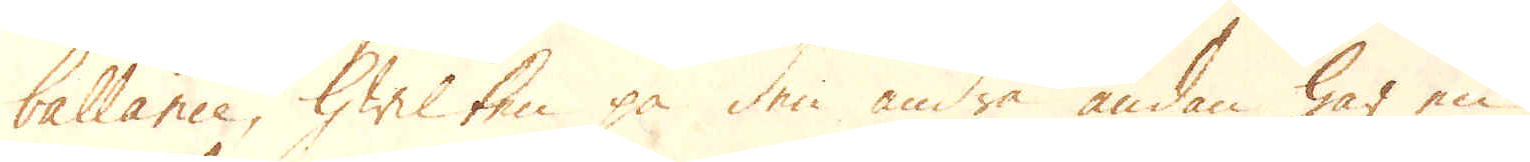ballance, Hwilken på den andra ändan har en
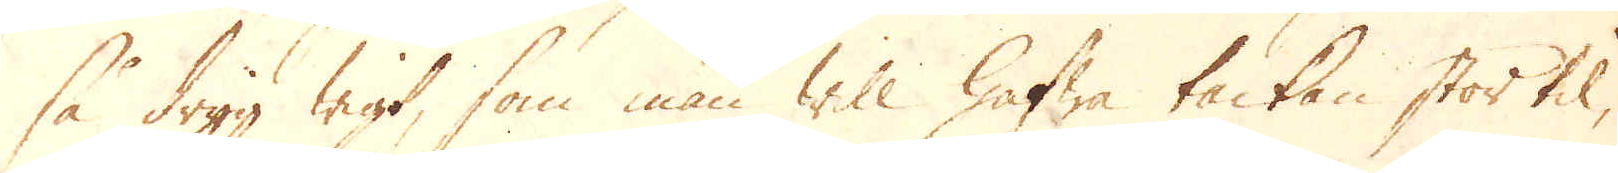så dryg Wigt, som man will hafwa tackan stor til,
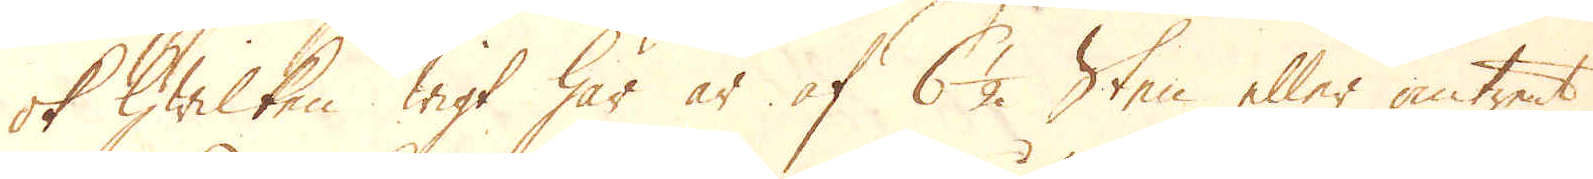ok Hwilken wigt här är af 6 1/2. Sten eller omtrent
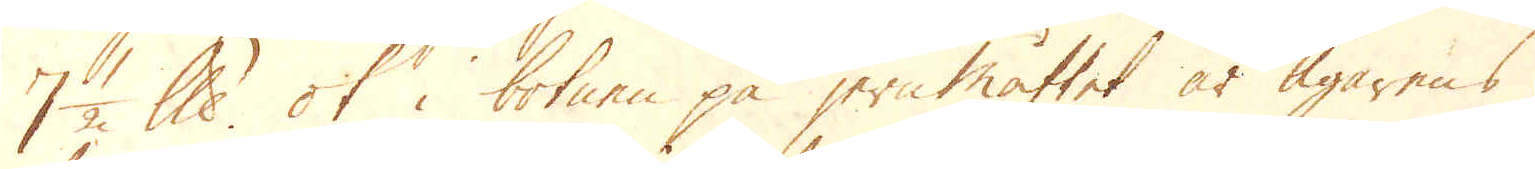7 1/2 lispund. ok i botnen på jernmåttet är Ägarens
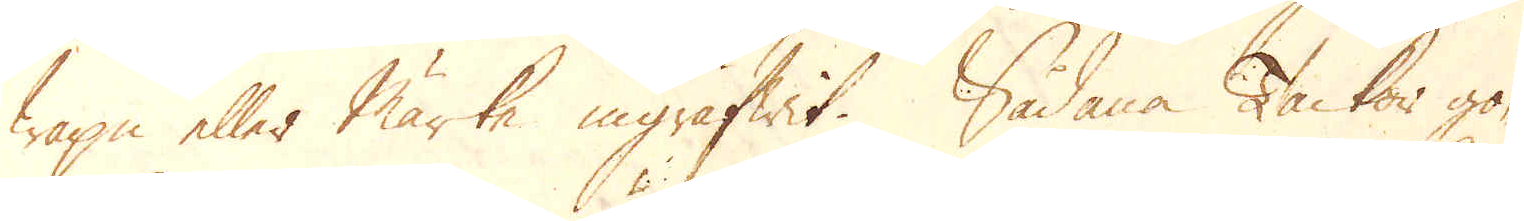trape eller märke ingräfwit. Sådana Tackor gö-
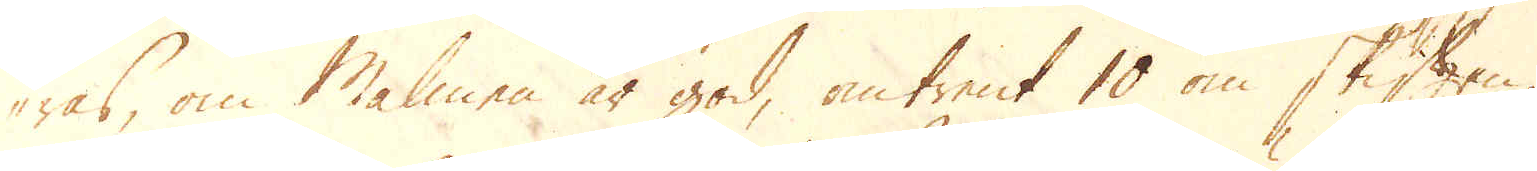ras, om Malmen är god, omtrent 10 om skiften,
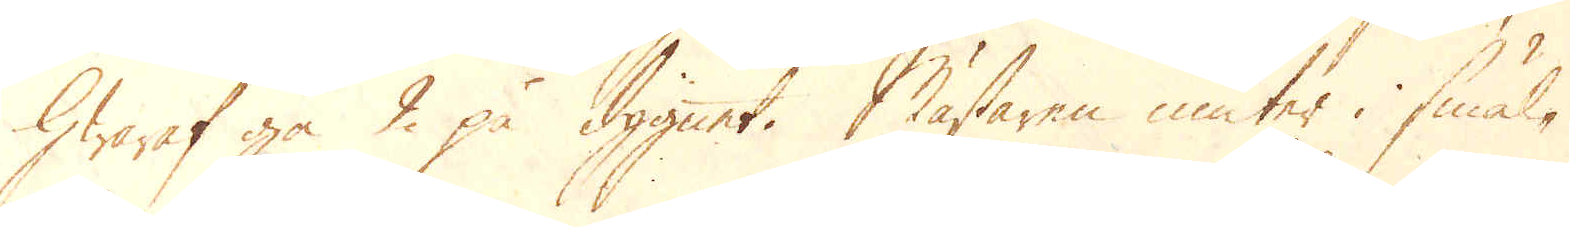Hwaraf gå 2 på dygnet. Mästaren niuter i smäl-
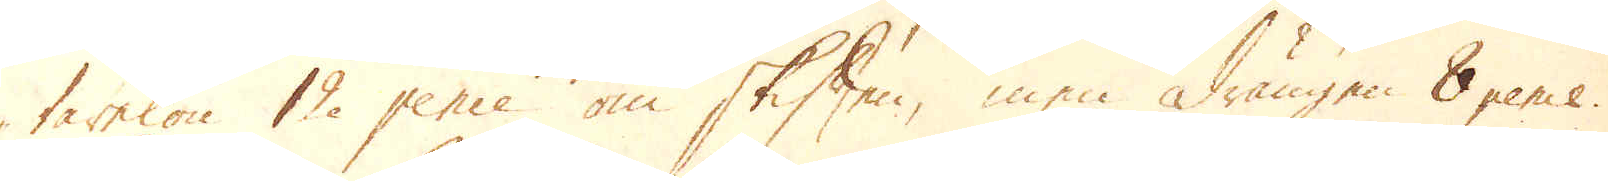tarelön 12 pence om skiften, men drängen 8 pence.
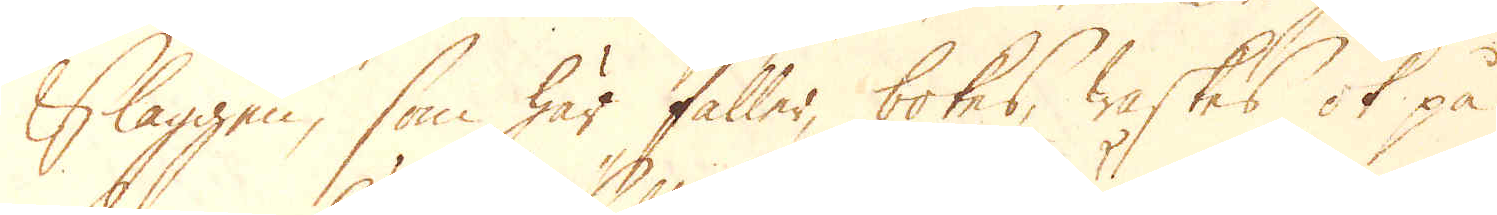Slaggen, som här faller, bokes, waskes ok på
